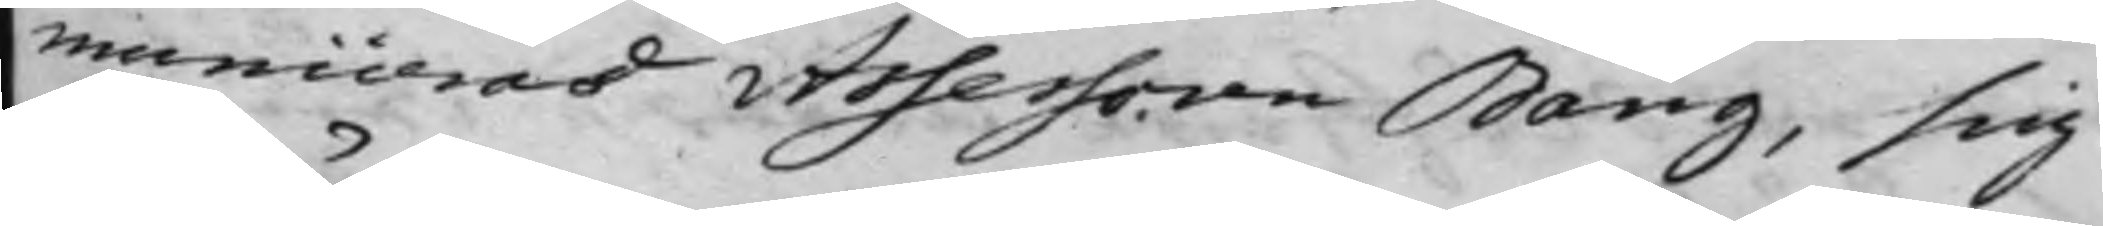municeras Assessoren Bång, sig
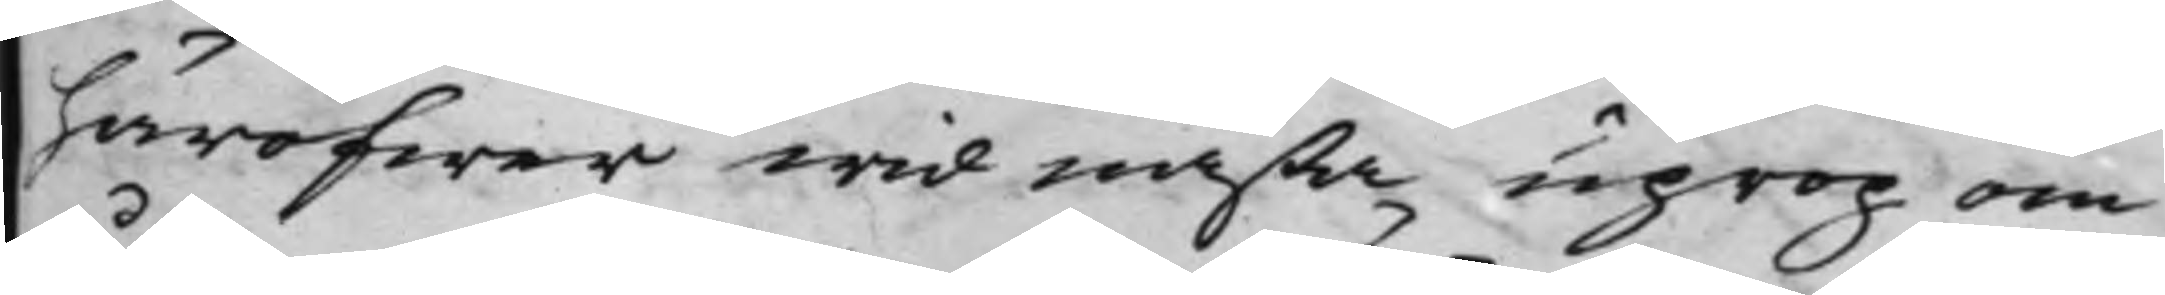häröfwer wid nästa uprop om
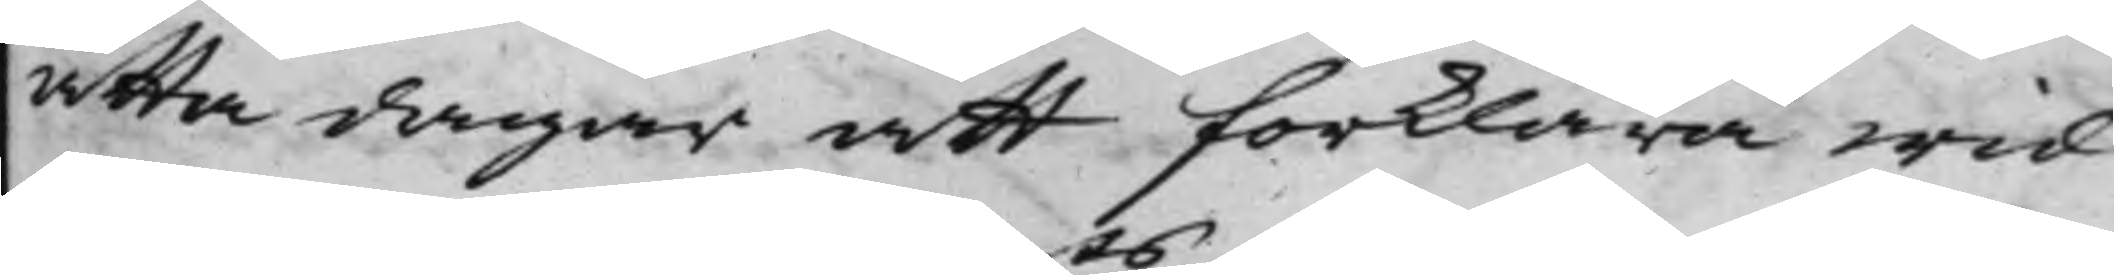åtta dagar att förklara wid
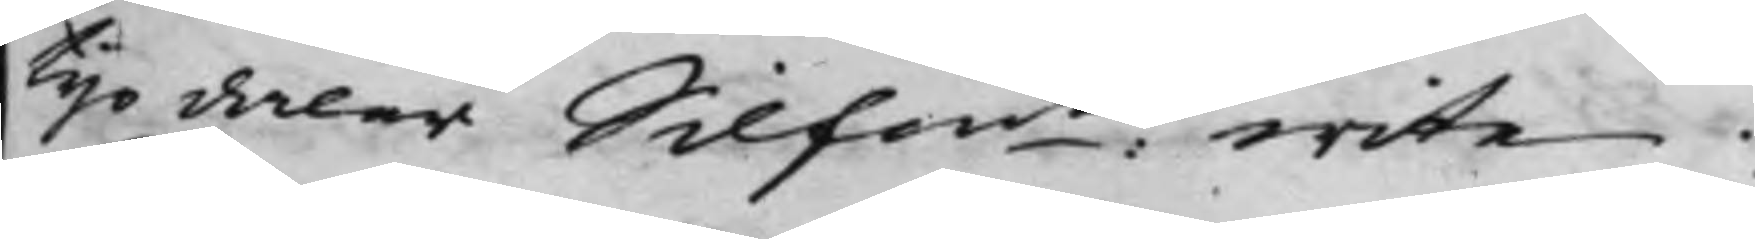tijo daler Silfm:ts wite. 
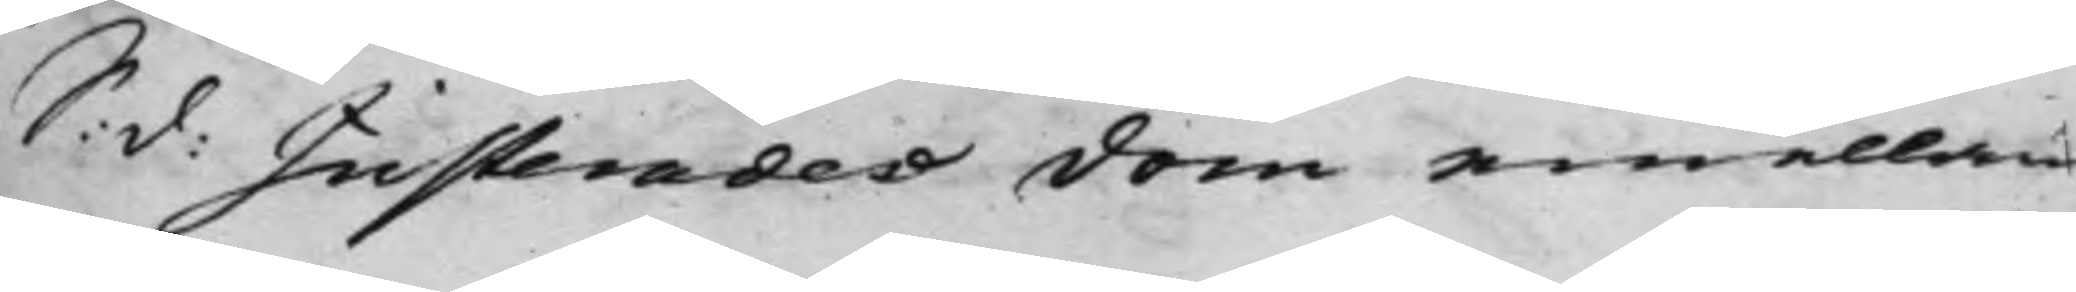S: d: Justerades dom emellan 
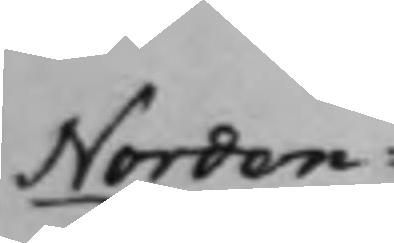Norden¬
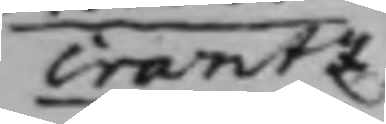crantz
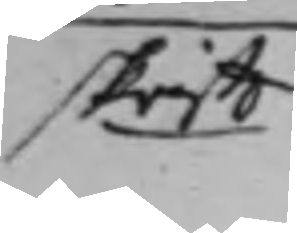skrifft.
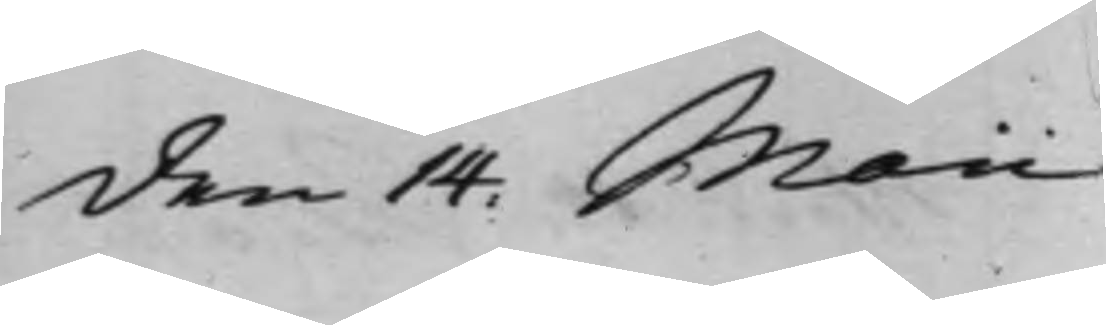den 14. Maii
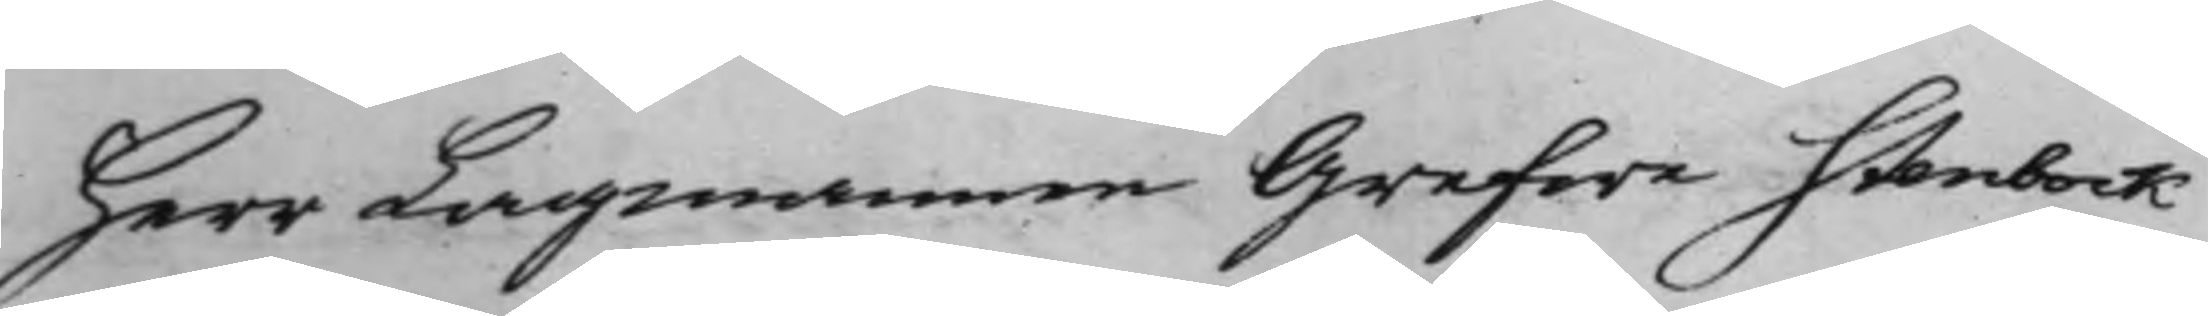herr Lagmannen Grefwe Stenbock
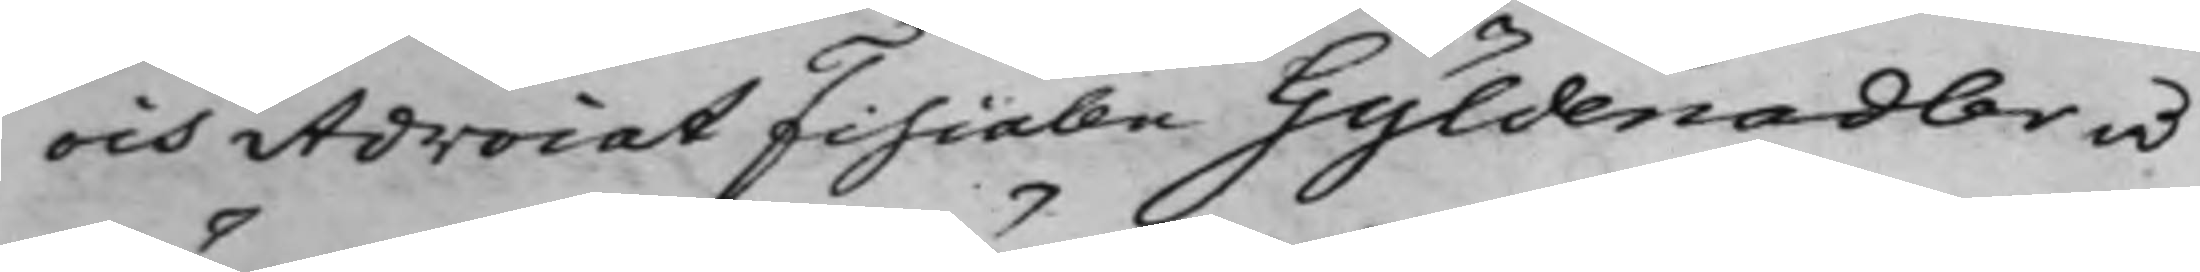och AdvocatFiscalen Gyldenadler å
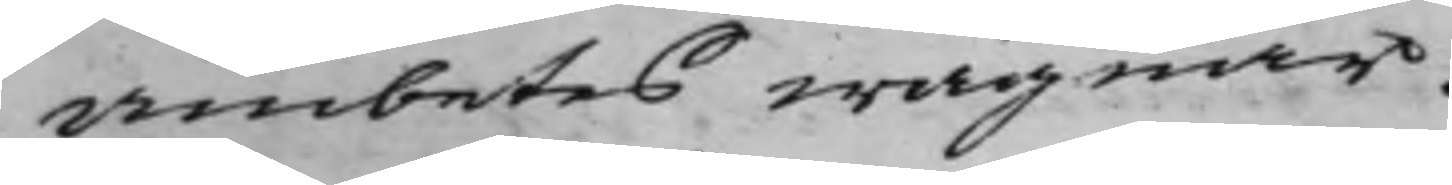ämbetes wägnar.
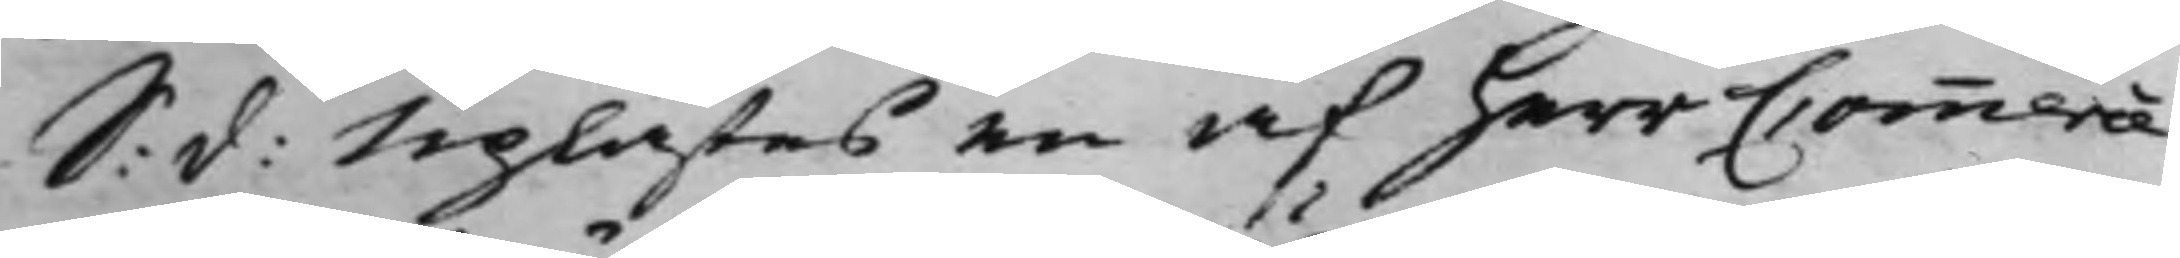S: d: Uplästes en af herr Commerce
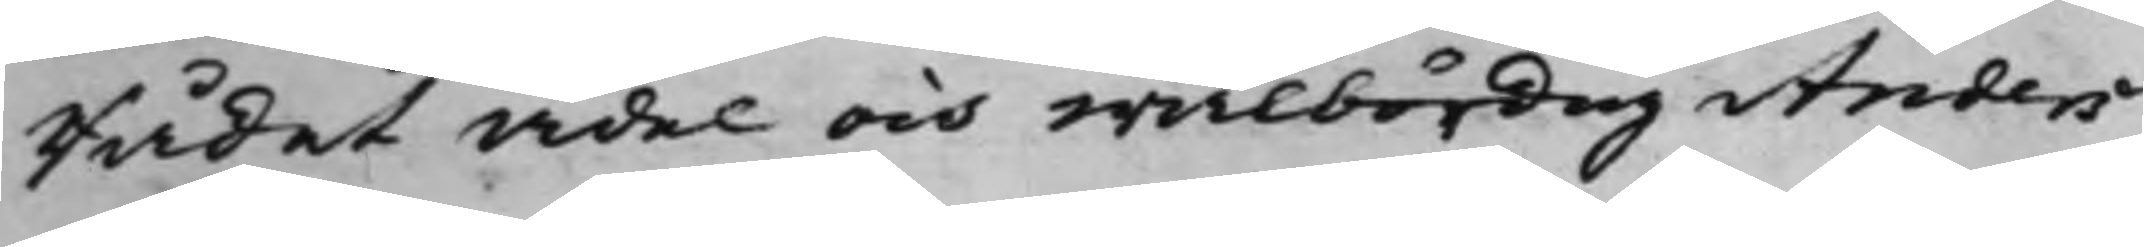Rådet ädel och wälbördig Anders
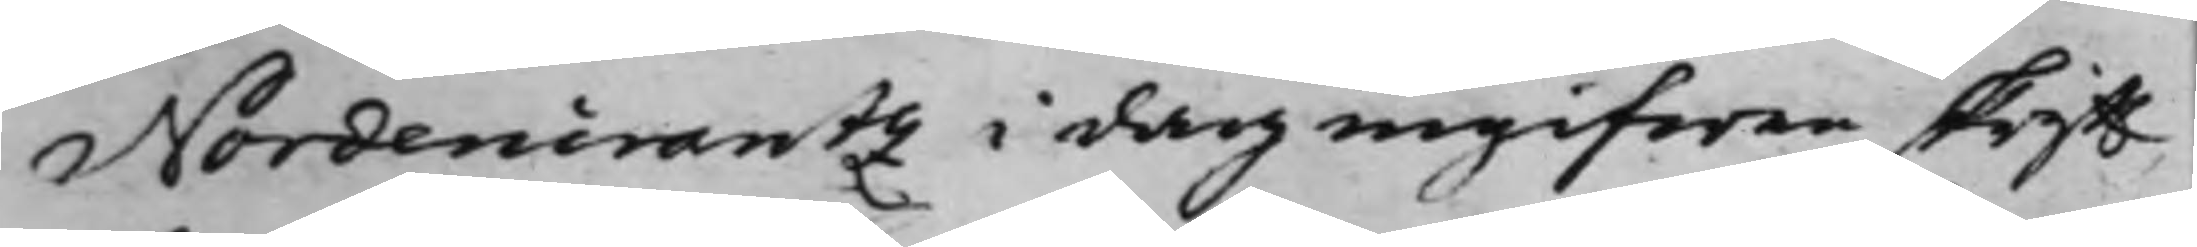Nordencrantz i dag ingifwen skrifft
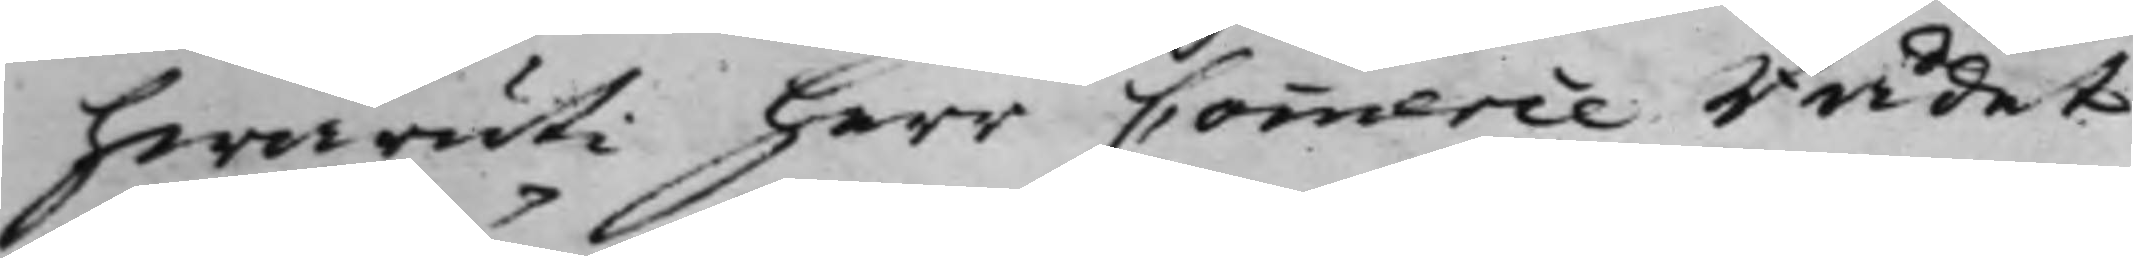hwaruti herr Commerce Rådet
